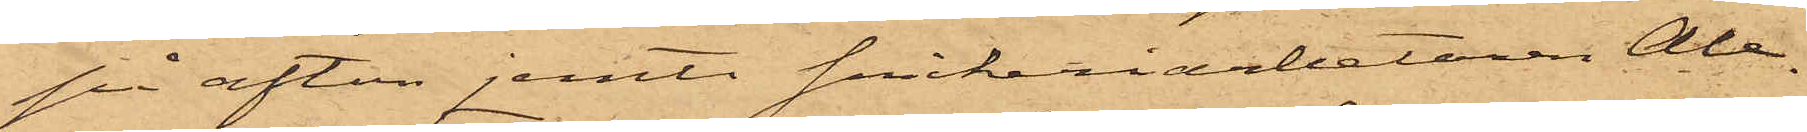på afton jemte snickeriarbetaren Ale¬
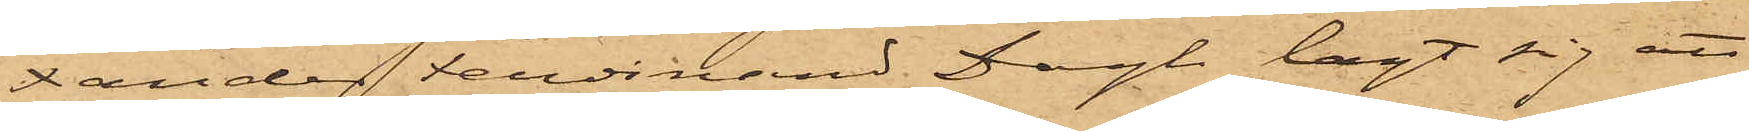xander Ferdinand Dagh lagt sig att
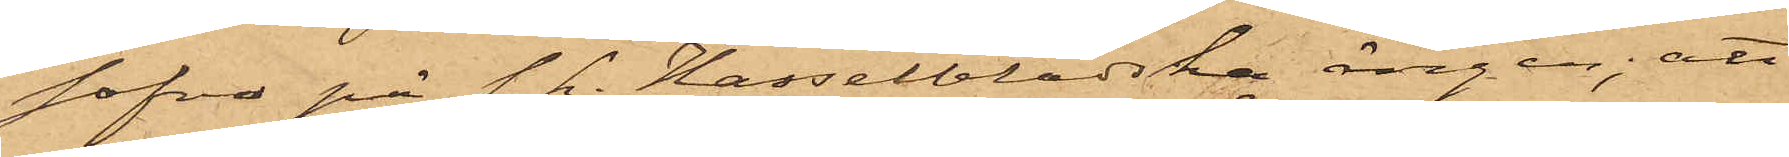sofva på s. k. Hasselbladska ängen; att
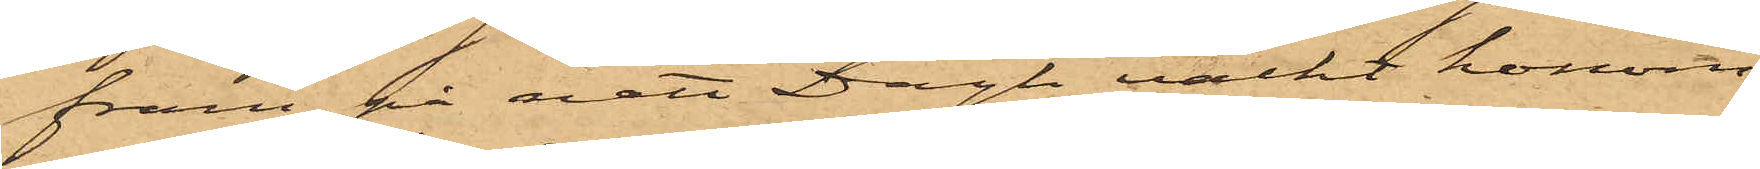fram på natt Dagh väckt honom
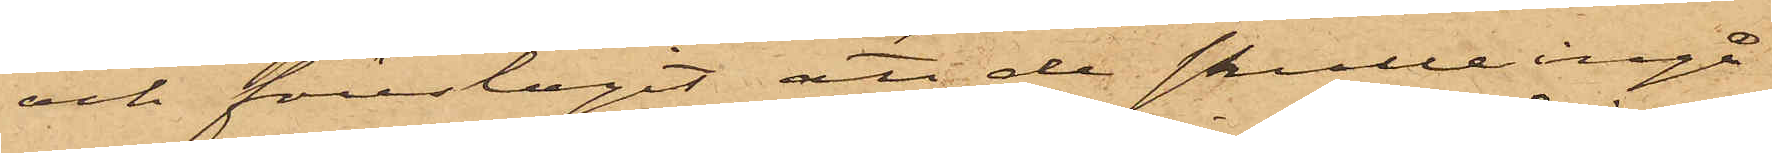och föreslagit att de skulle ingå
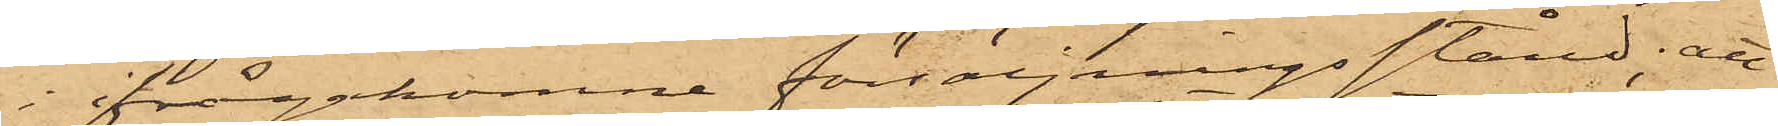i ifrågakomne försäljningsstånd; att
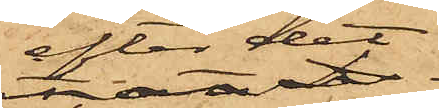efter det 
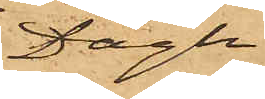Dagh
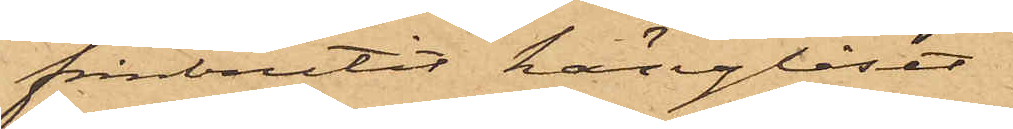frånbrutit hänglåset
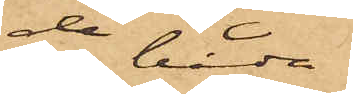de båda
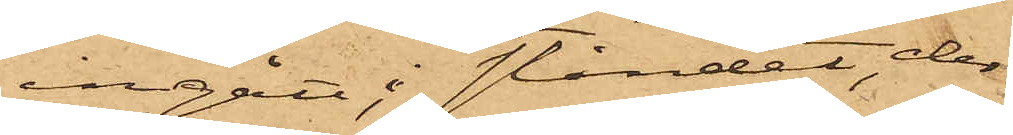ingått i ståndet, der
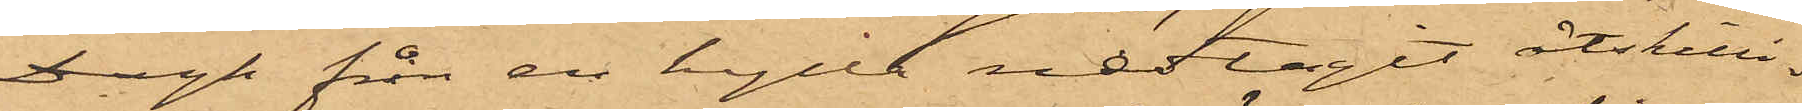Dagh från en hylla nedtagit åtskilli¬
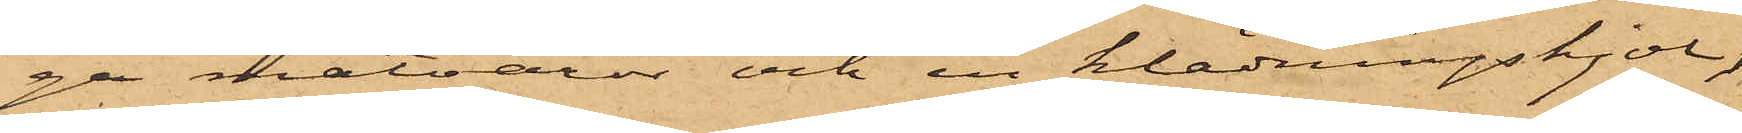ga matvaror och en klädningskjol,
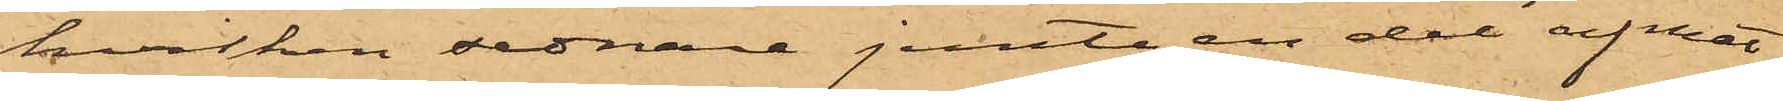hvilken sednare jemte en del af mat¬
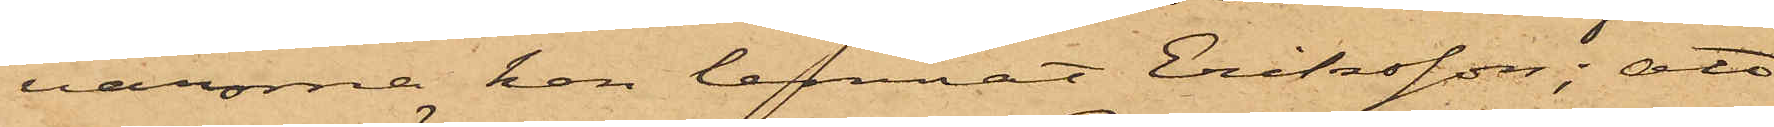varorna han lemnat Eriksson; att
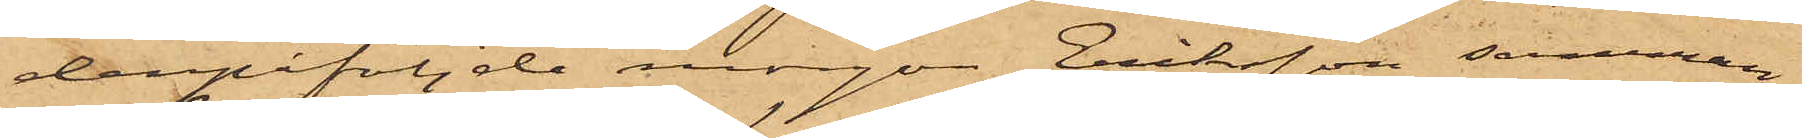derpåföljde morgon Eriksson samman¬
